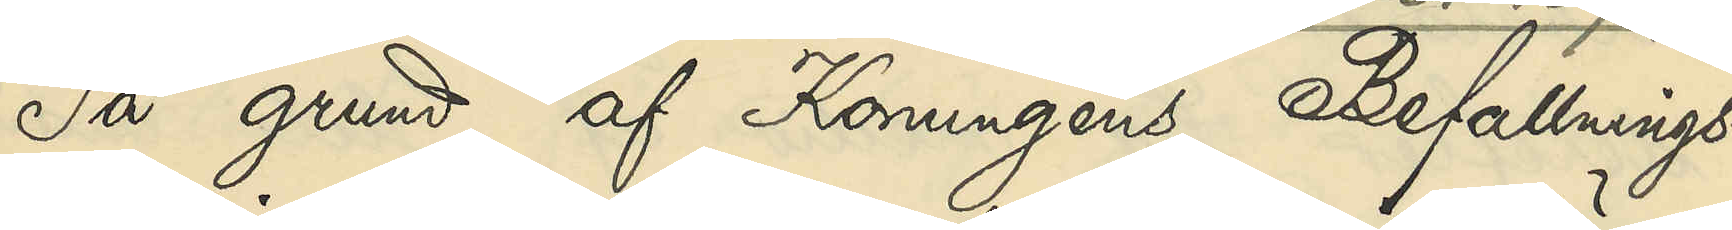På grund af Konungens Befallnings¬
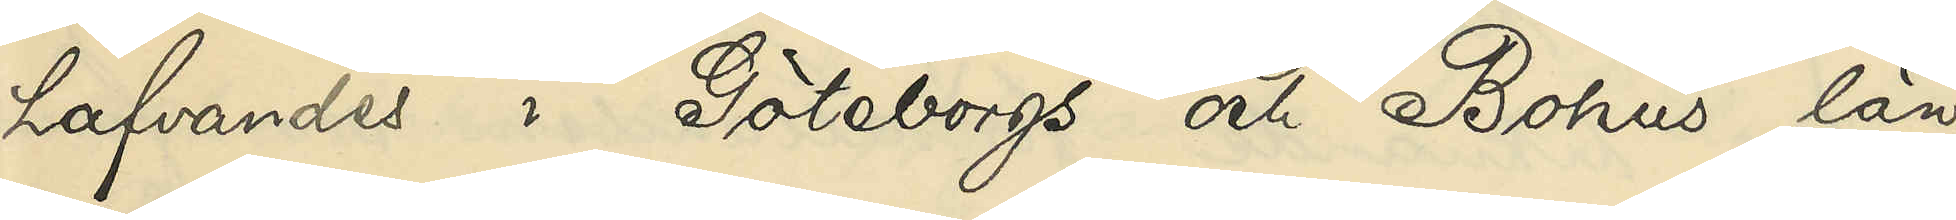hafvandes i Göteborgs och Bohus län
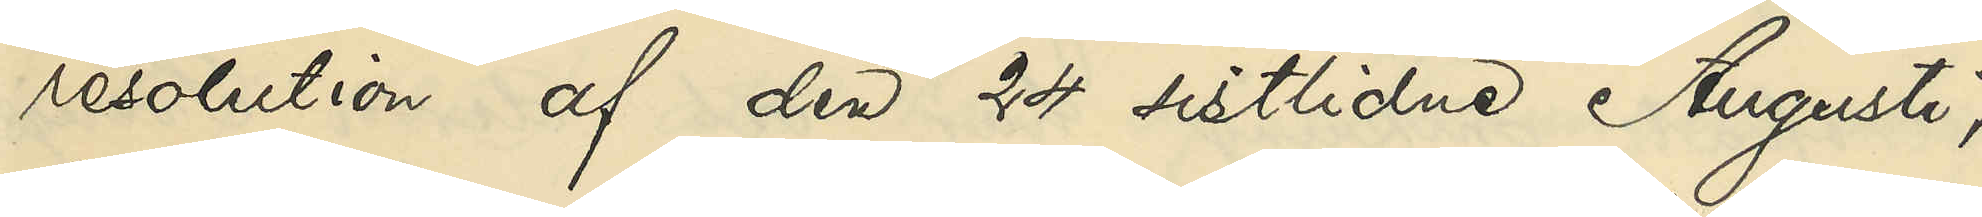resolution af den 24 sistlidne Augusti,
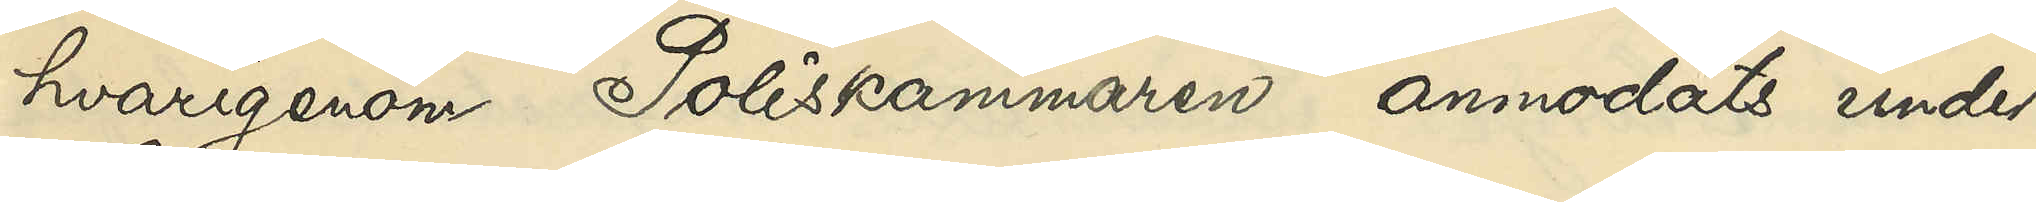hvarigenom Poliskammaren anmodats under¬
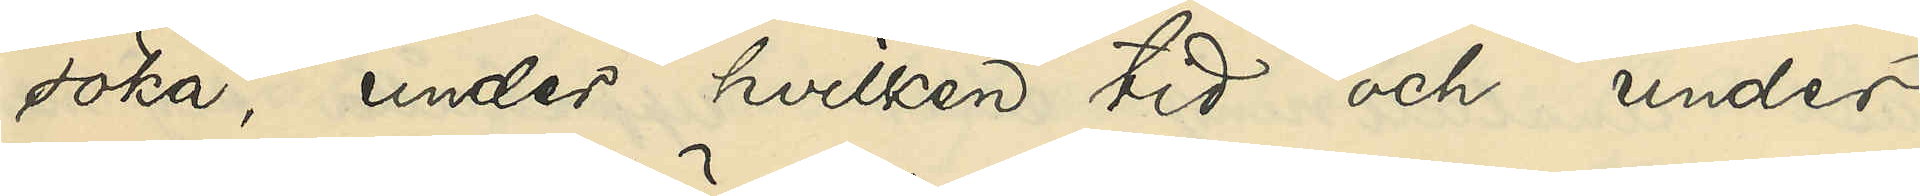söka, under hvilken tid och under
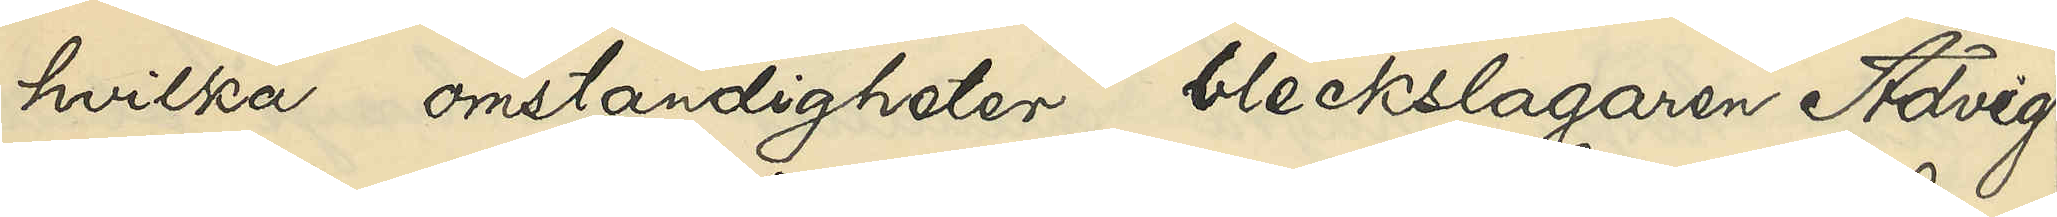hvilka omständigheter bleckslagaren Advig
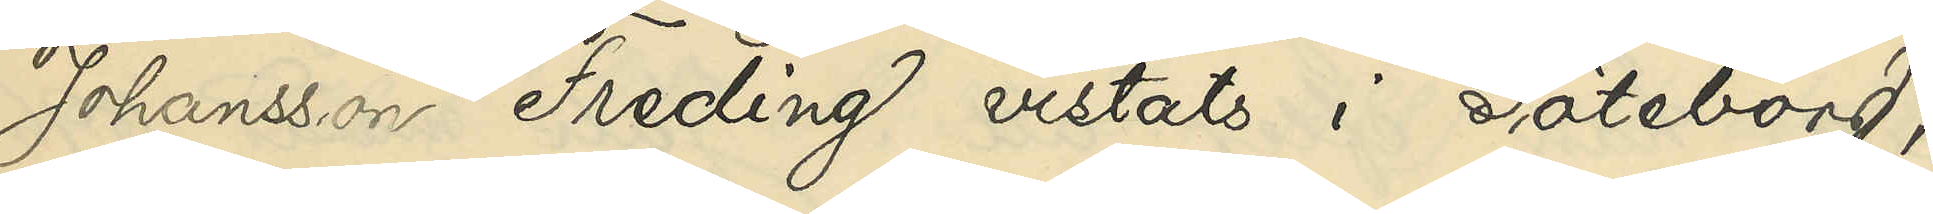Johansson Freding vistats i Göteborg,
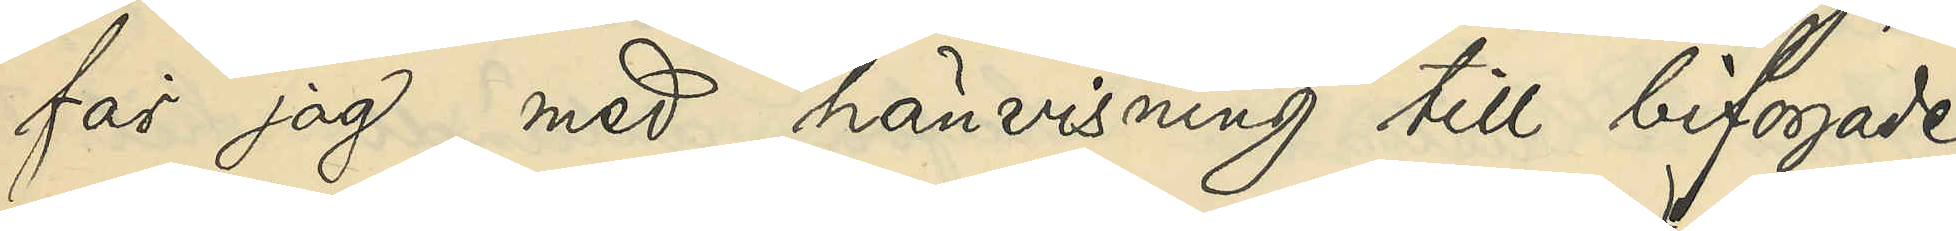får jag, med hänvisning till bifogade
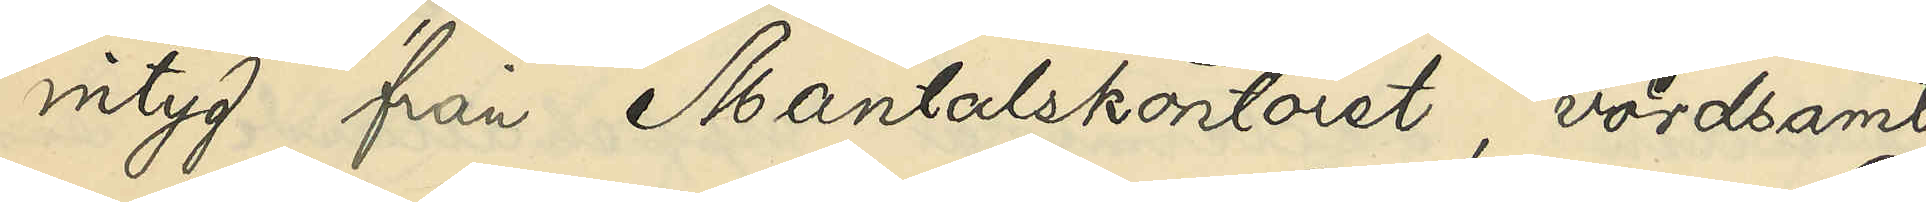intyg från Mantalskontoret, vördsamt
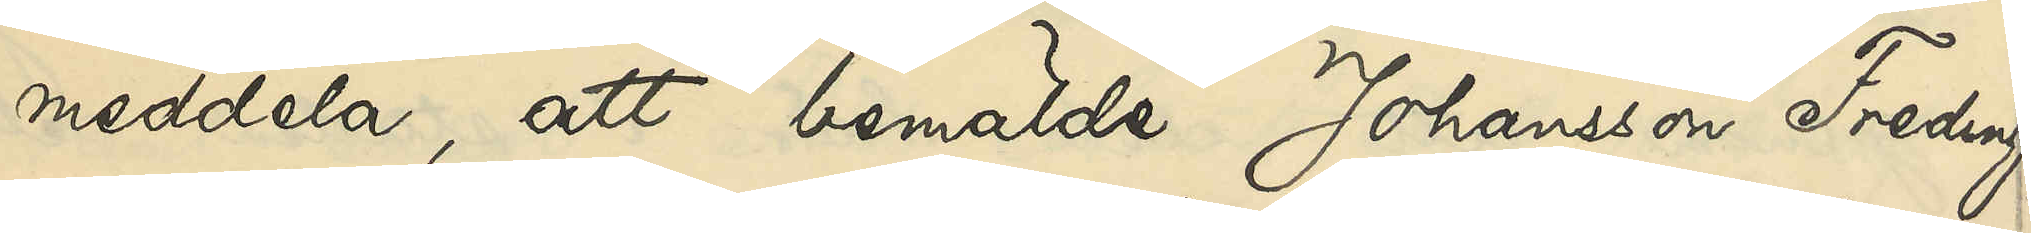meddela, att bemälde Johansson Freding,
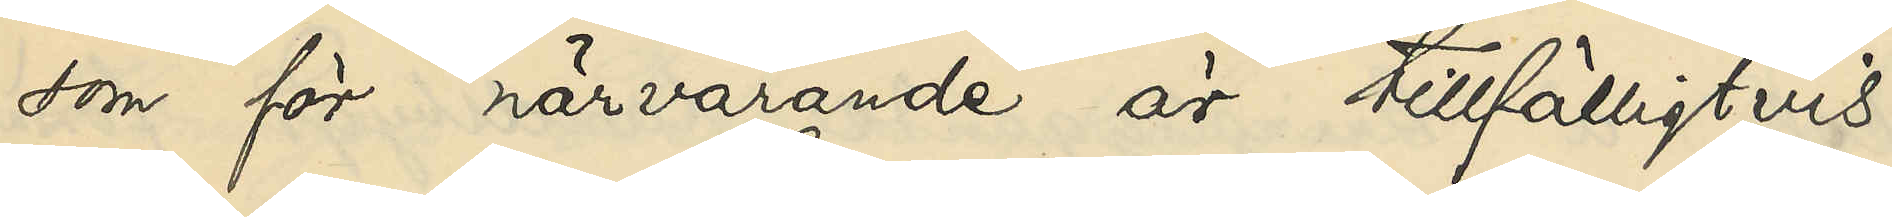som för närvarande är tillfälligtvis
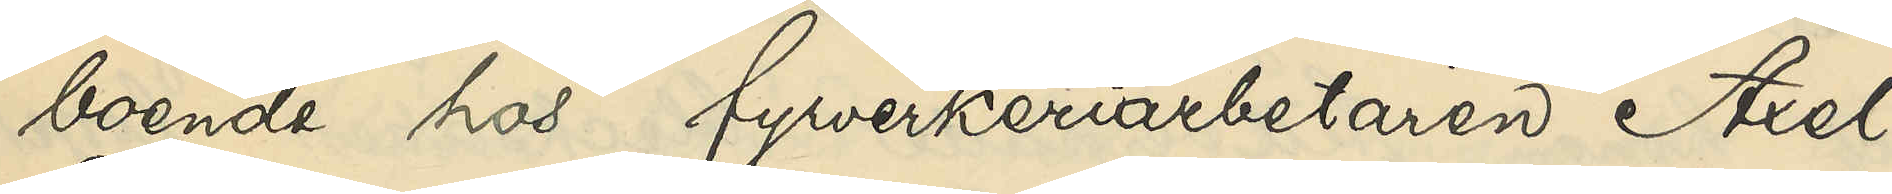boende hos fyrverkeriarbetaren Axel
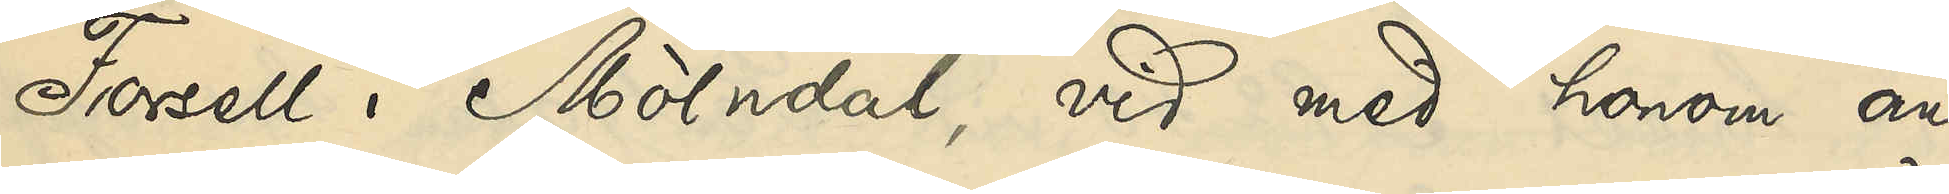Forsell i Mölndal, vid med honom an¬
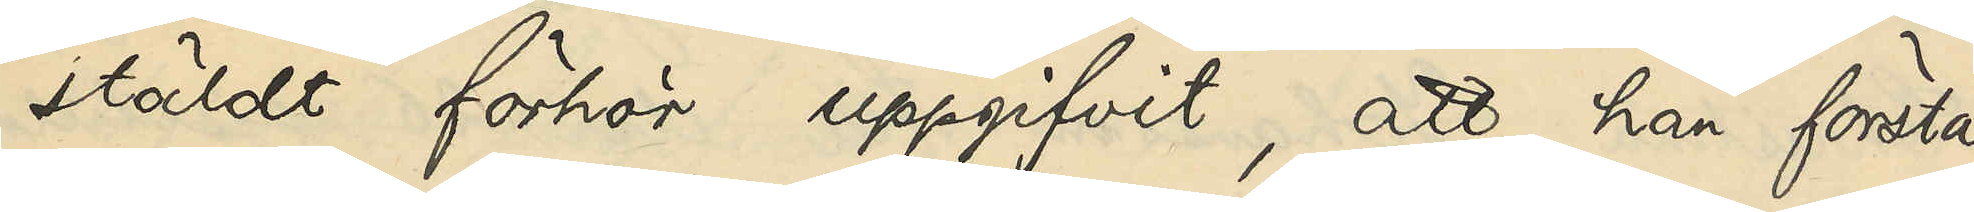stäldt förhör uppgifvit, att han första
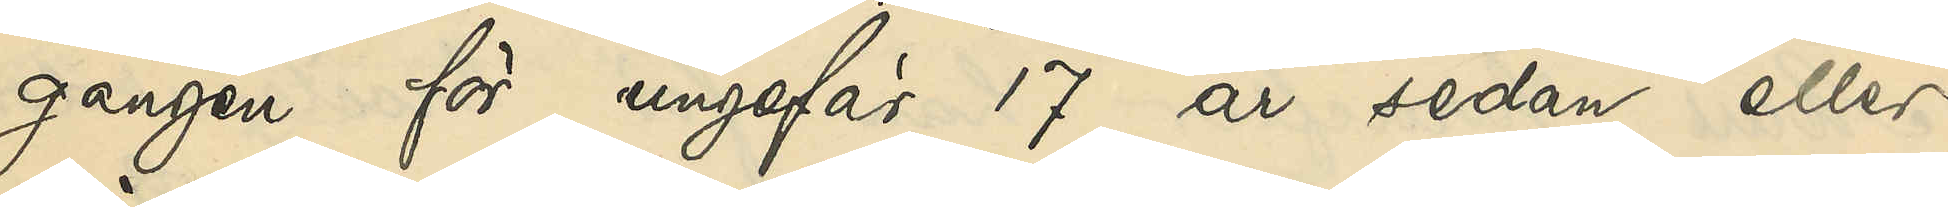gången för ungefär 17 år sedan eller
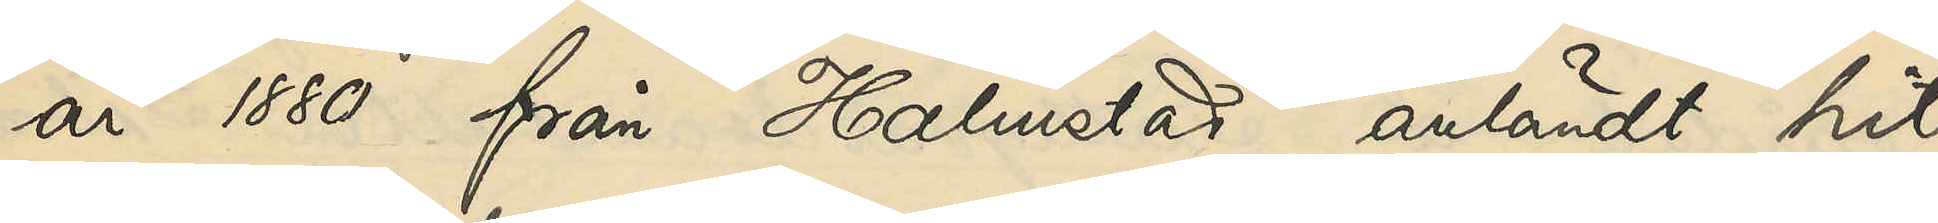år 1880 från Halmstad anländt hit
